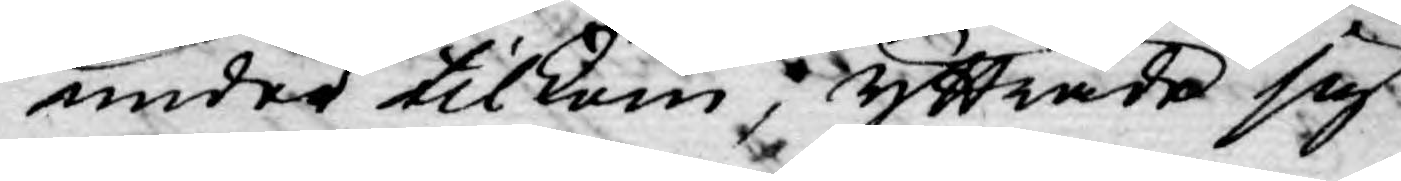under tilkom; yttrade sig
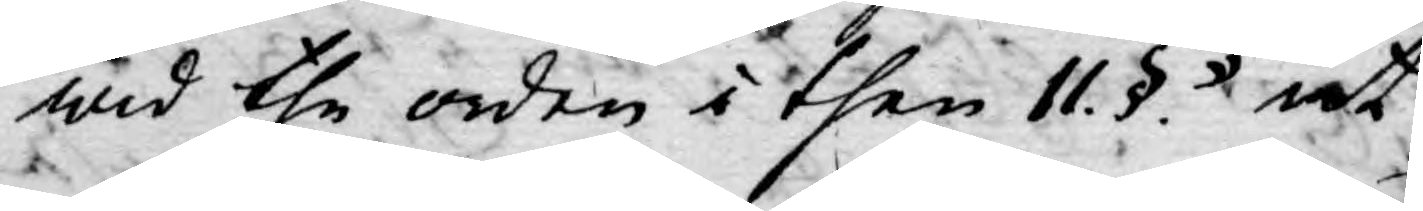wid the orden i then 11. §. "at
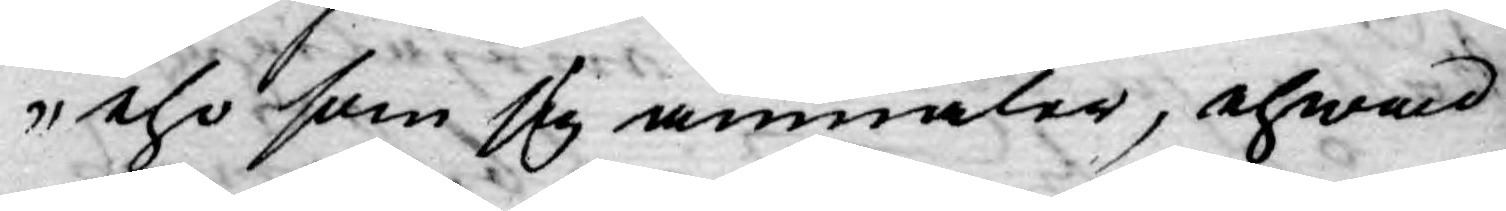tho som sig anmäler, ehwad
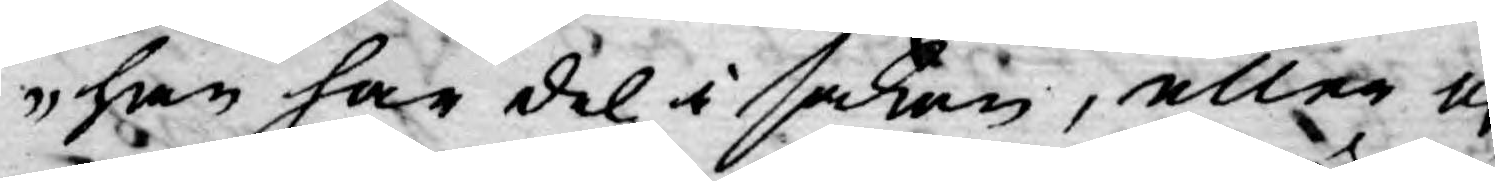han har del i saken, eller ej
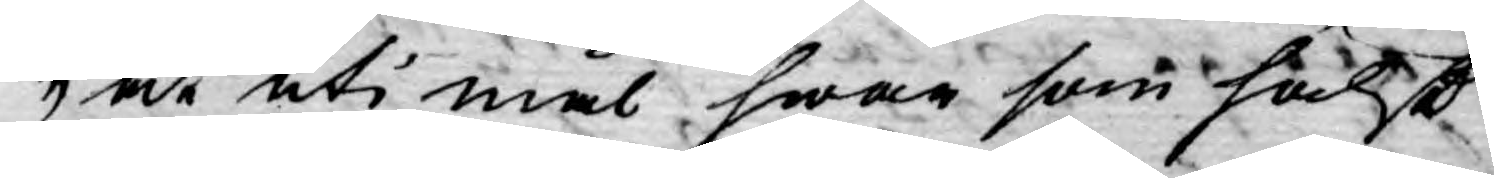at uti mål hwar som hälst
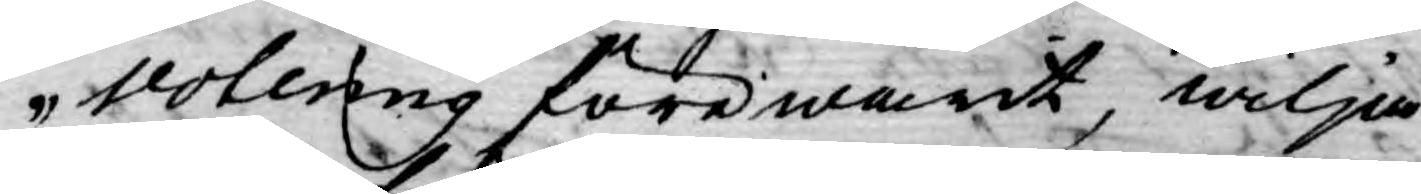votering förewarit, wilja
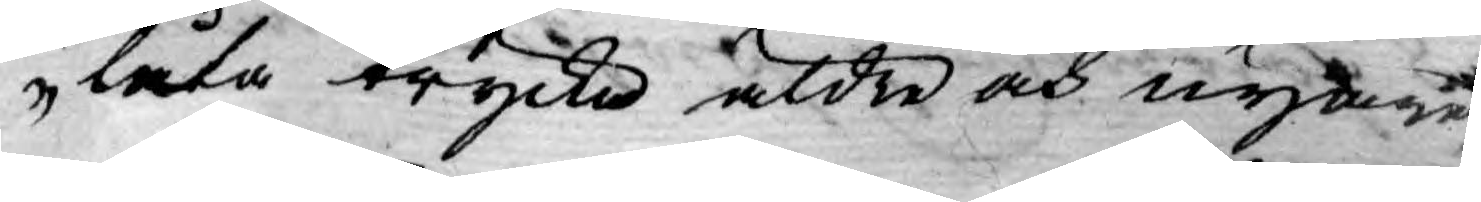låta trycka äldre och nyare
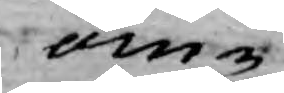om¬
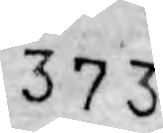373
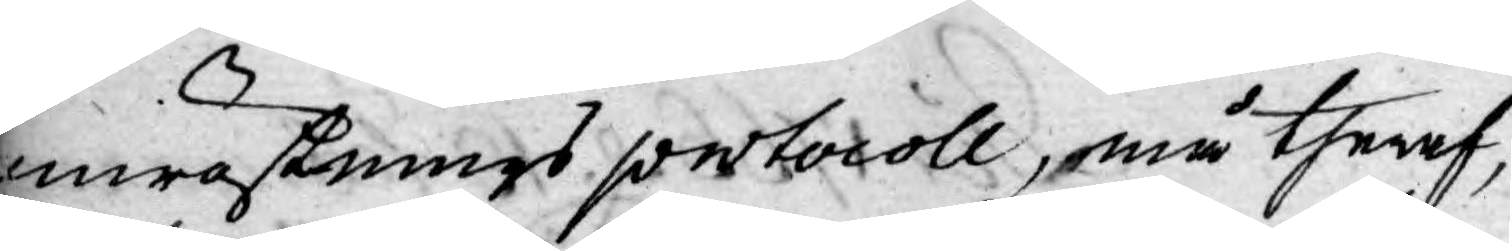omröstnings protocoll, må theraf,
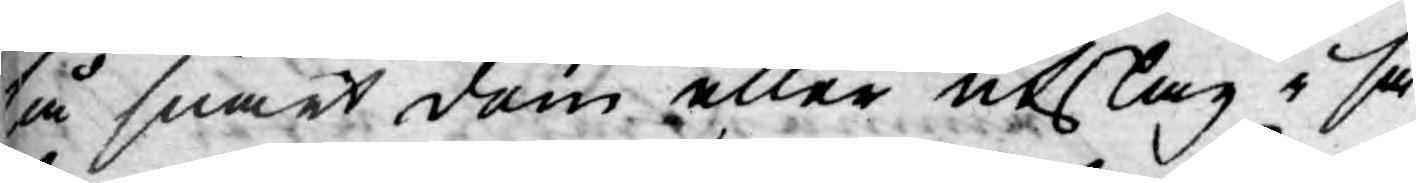så snart dom eller utslag i sa¬
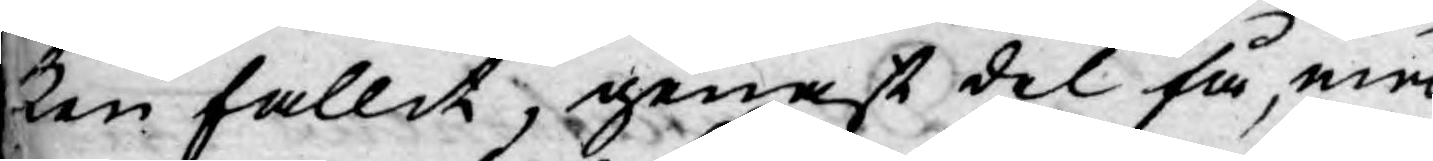ken fallit, genast del få, med
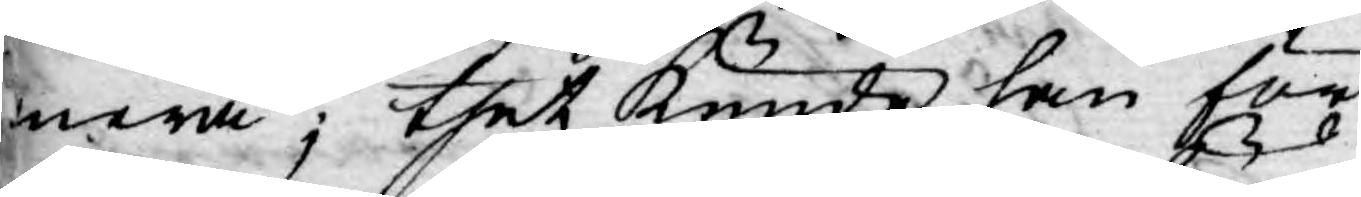mera; thet kunde han för
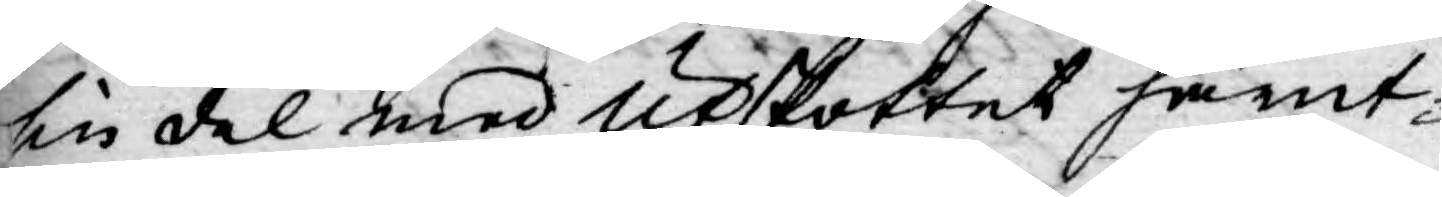sin del med Utskottet härut-
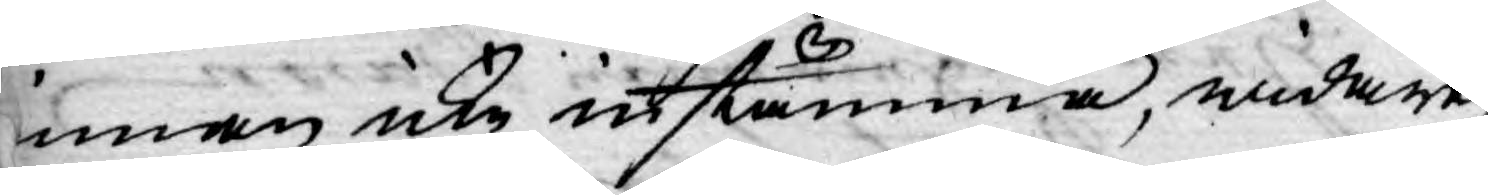innan icke instämma, widare,
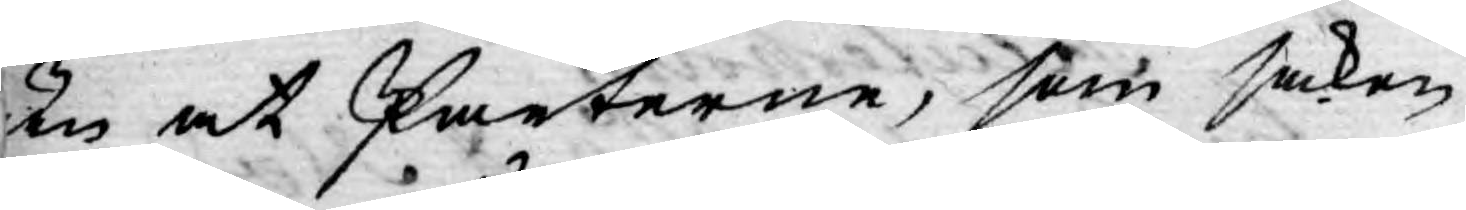än ock Parterne, som saken
